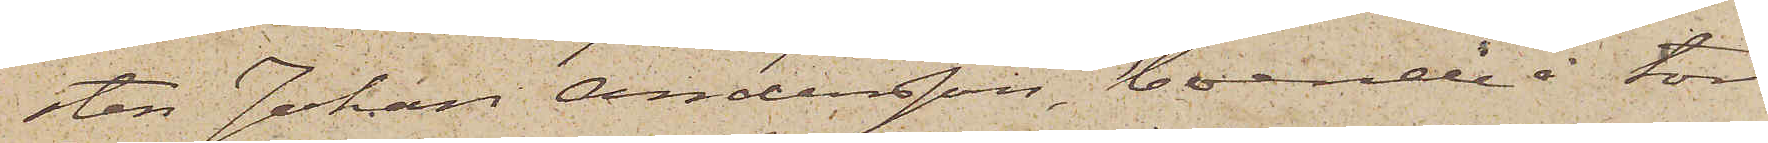sten Johan Andersson, boende å tor¬
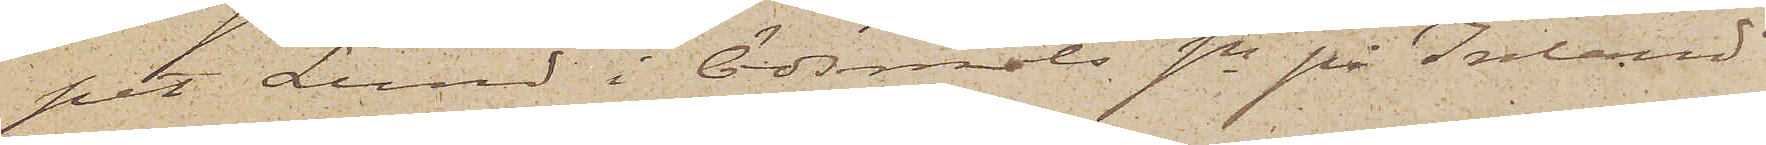pet Lund i Ödsmåls sn på Inland
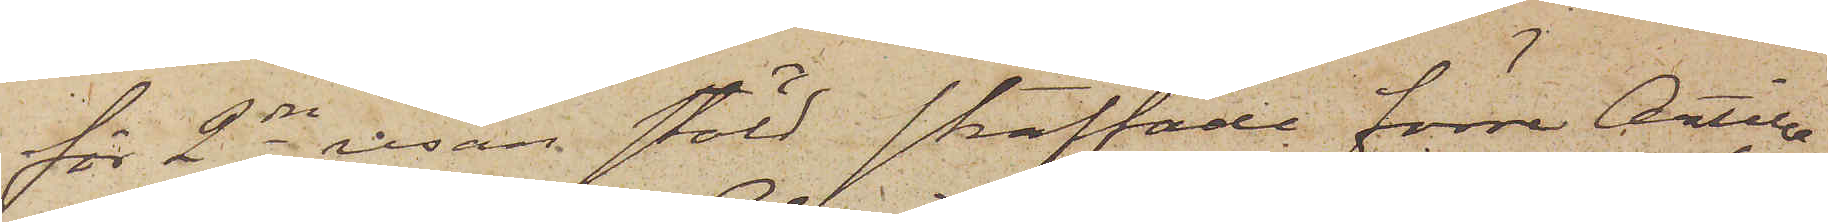för 2dra resan stöld straffade förre Artille¬
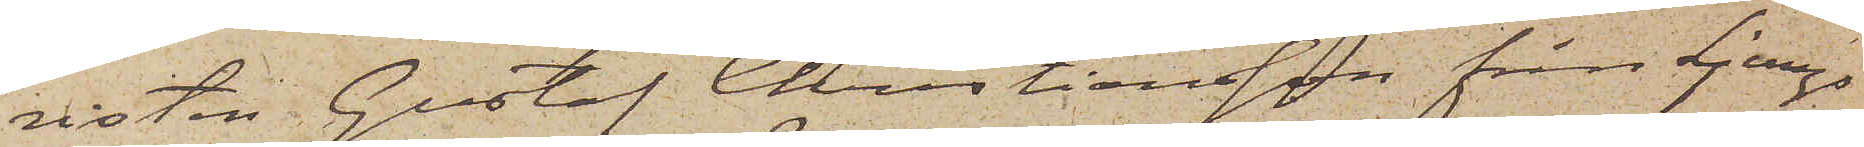risten Gustaf Christiansson från Ljungs
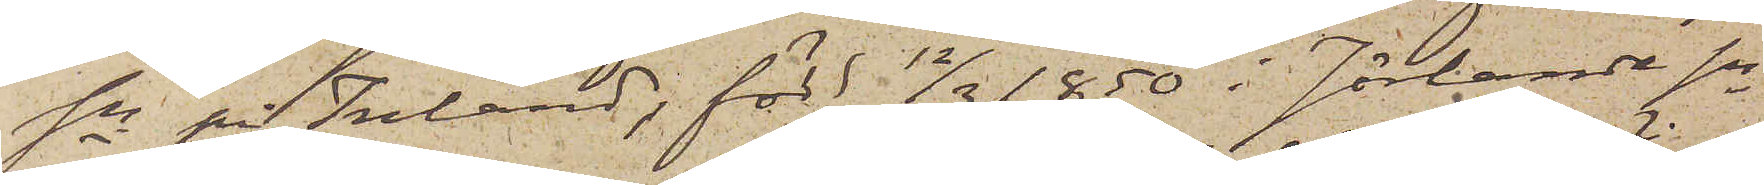sn på Inland; född 12/3 1850 i Jörlanda sn
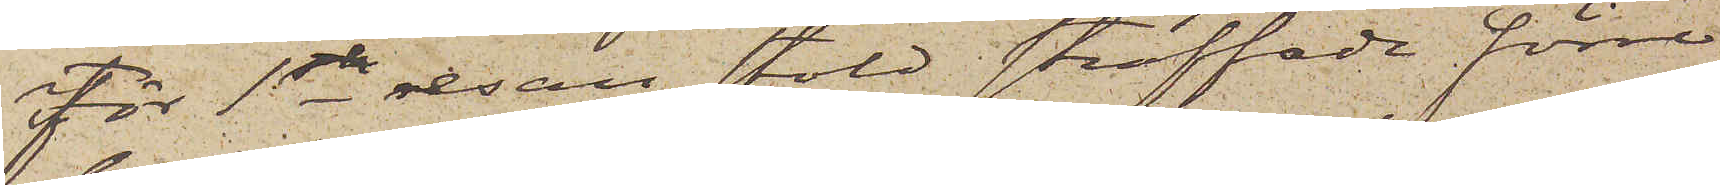för 1sta resan stöld straffade förre
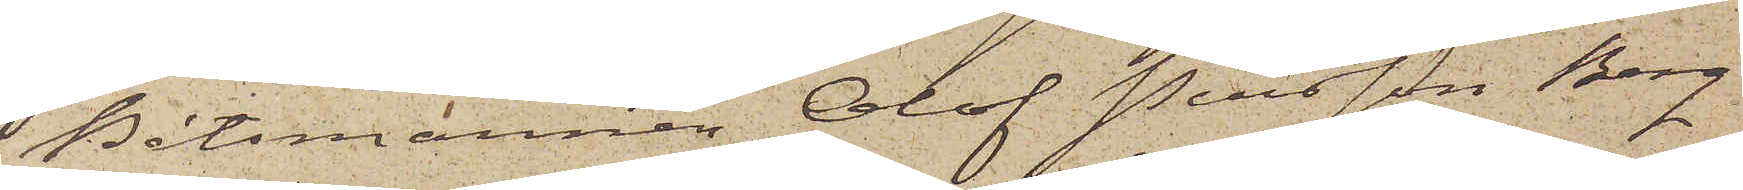Båtsmannen Olof Persson Berg
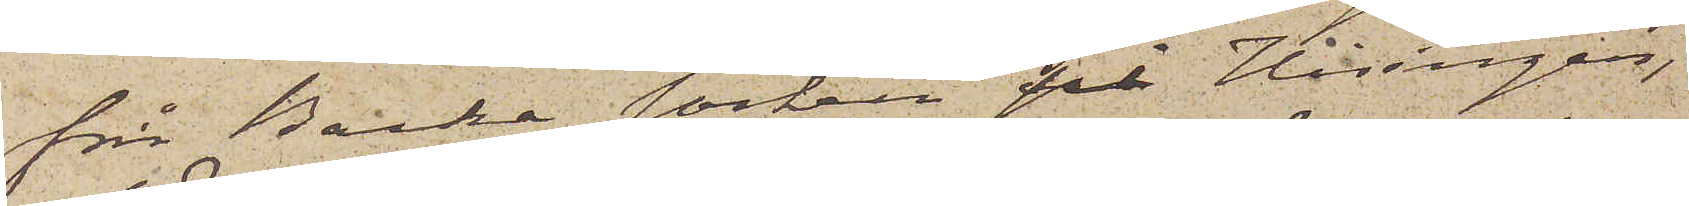från Backa socken på Hisingen,
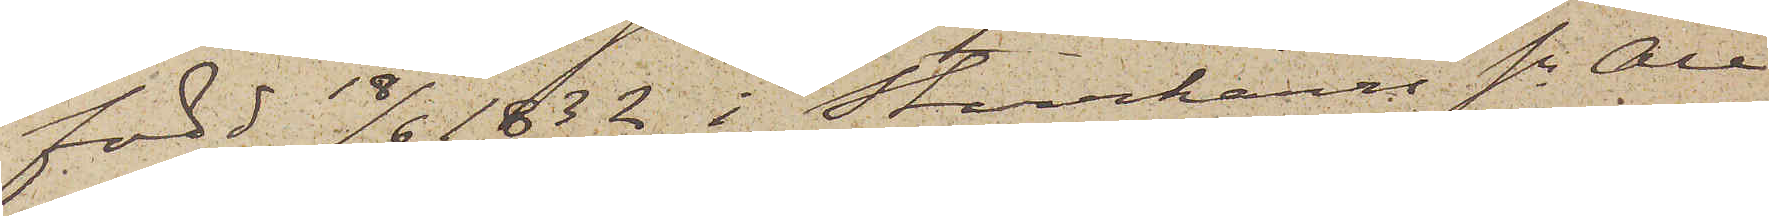född 18/6 1832 i Starrkärrs sn Ale
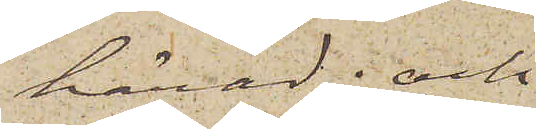härad; och
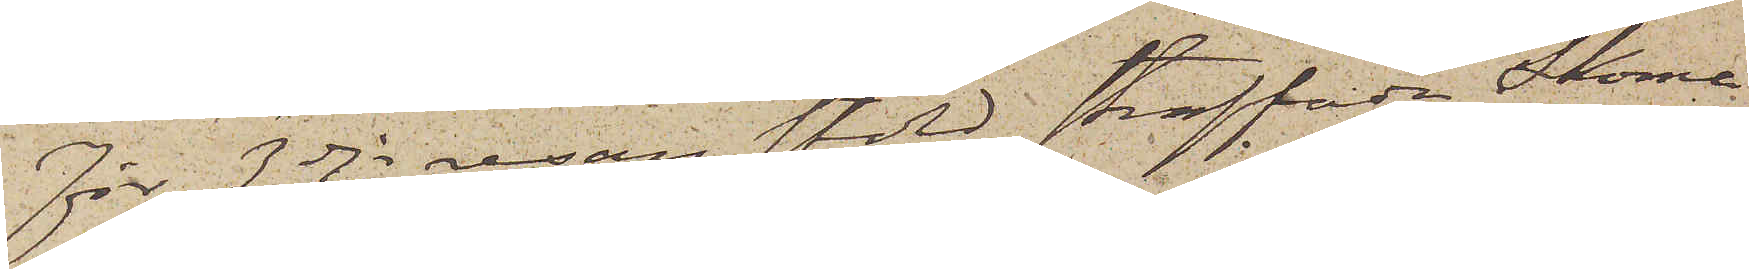För 3dje resan stöld straffade Skoma¬
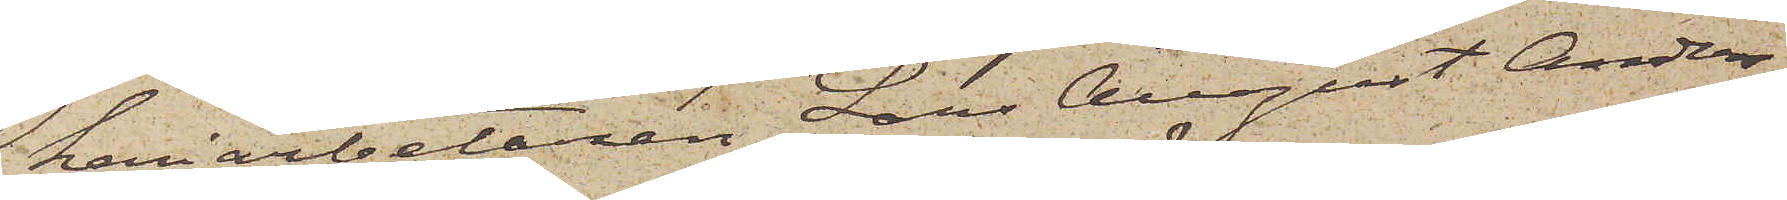keriarbetaren Lars August Anders¬
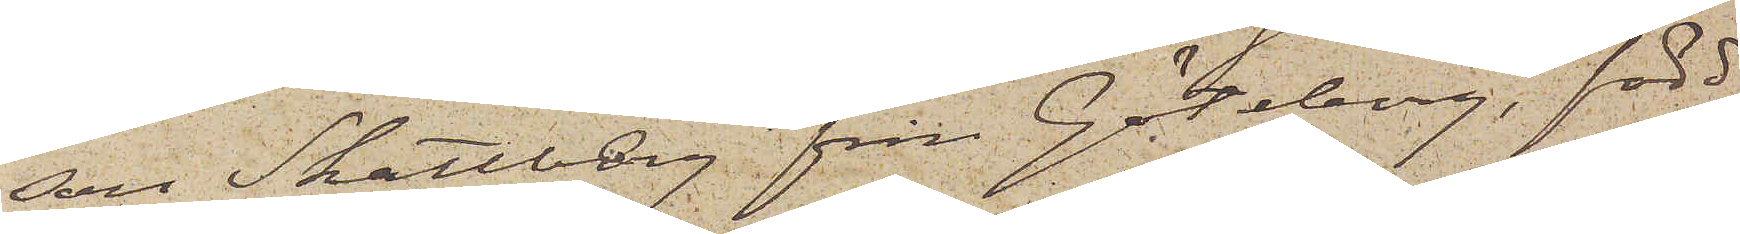den Skattberg från Göteberg, född
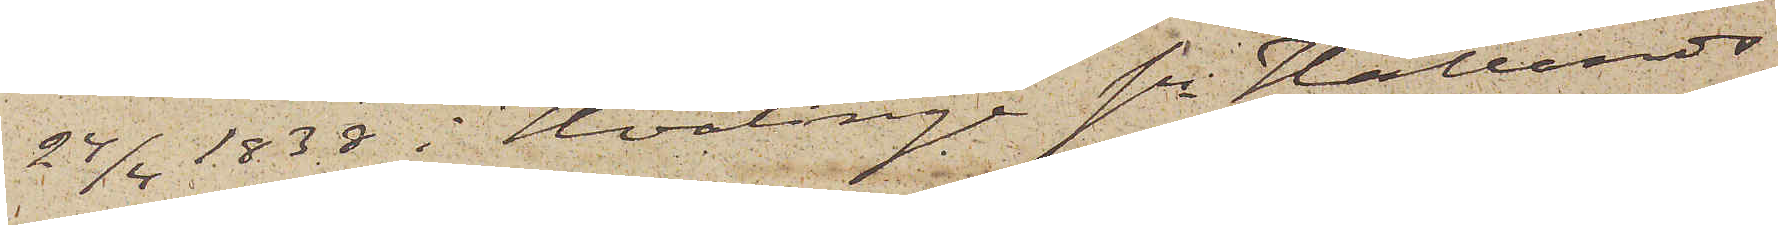24/4 1838 i Hvalinge sn Hallands
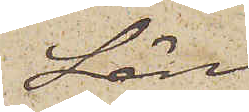Län.
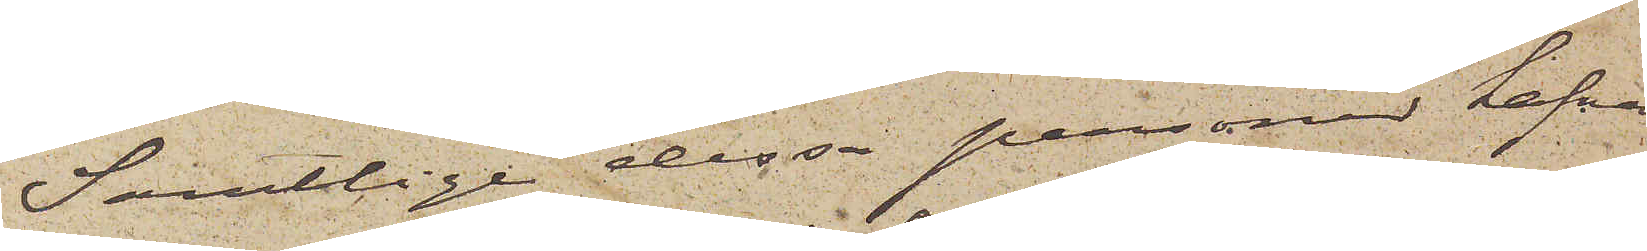Samtlige dessa personer hafva
